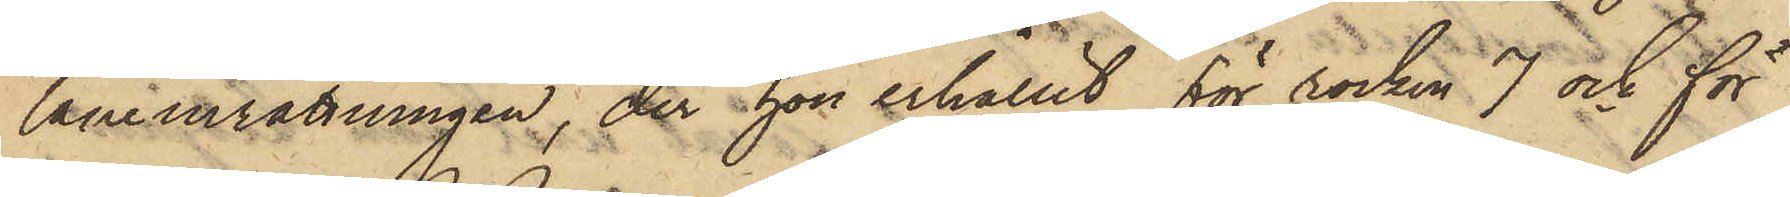låneinrättningen, der hon erhållit för rocken 7 och för
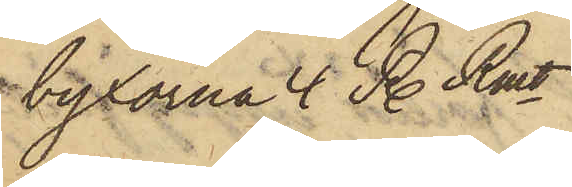byxorna  4 R. Rmt.
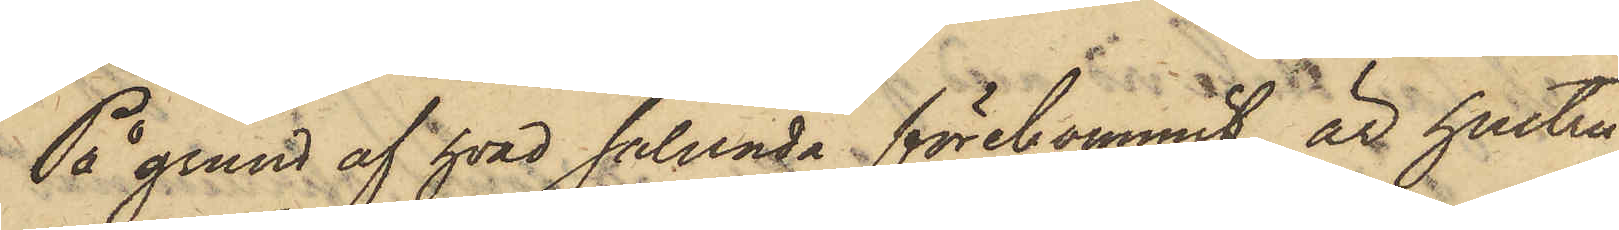På grund af hvad sålunda förekommit, är hustru
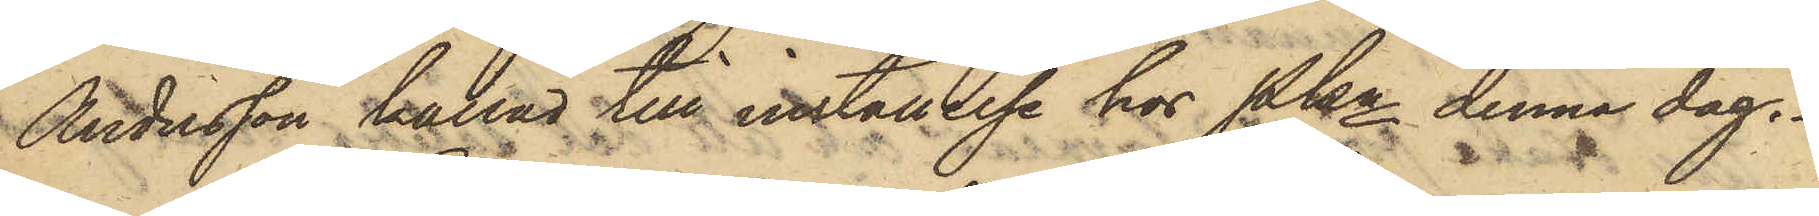Andersson kallad till inställelse hos Pkn denna dag.
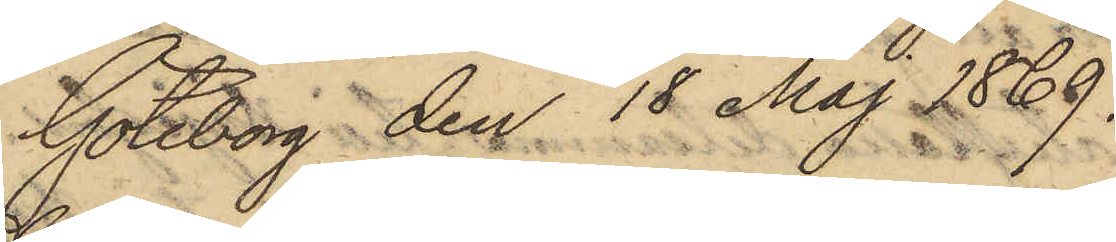Göteborg den 18 Maj 1869.
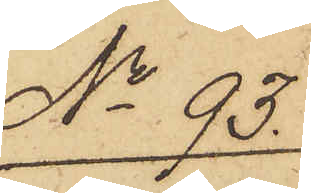No 93.
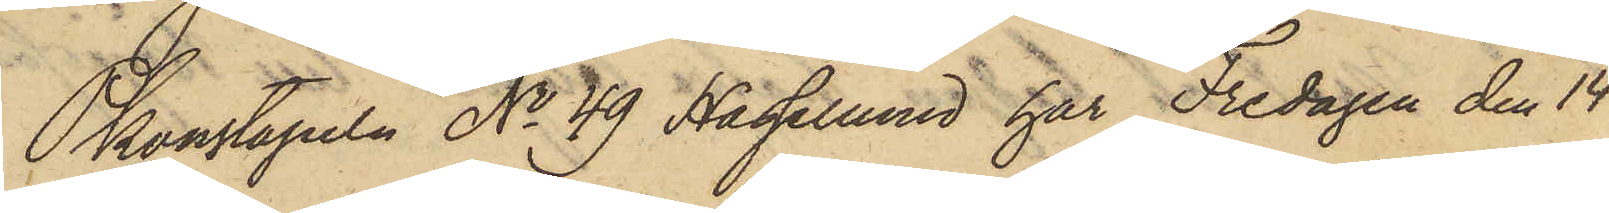Pkonstapeln No 49 Hassellund har Fredagen den 14
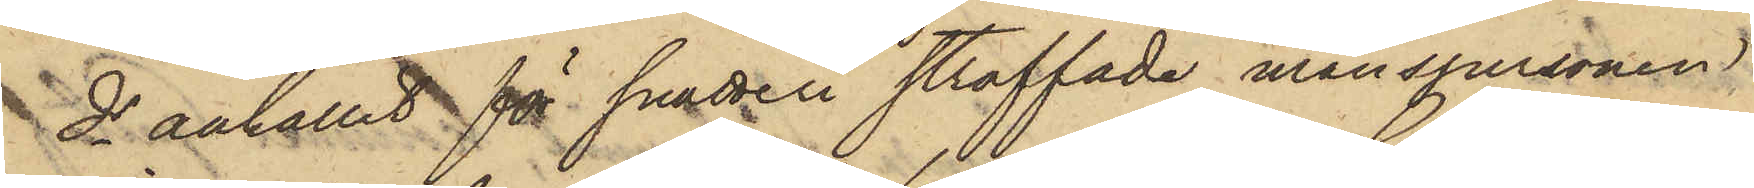ds anhållit för snatteri straffade manspersonen
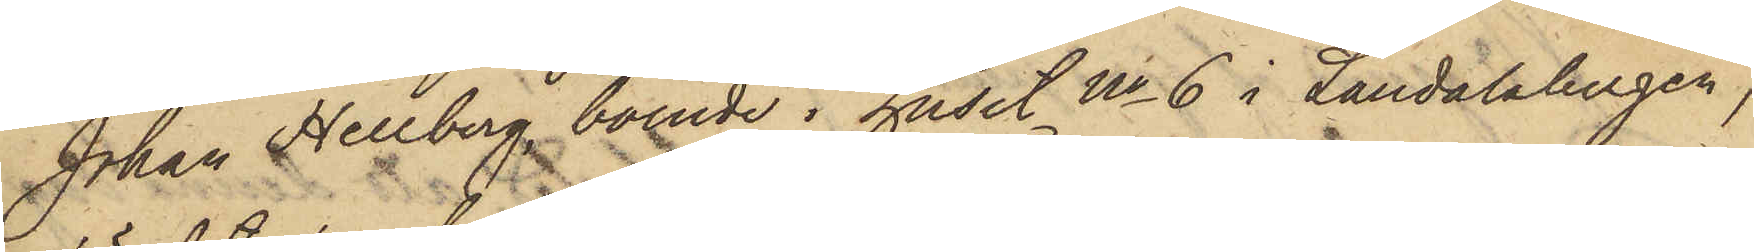Johan Hellberg, boende i huset No 6 i Landalabergen,
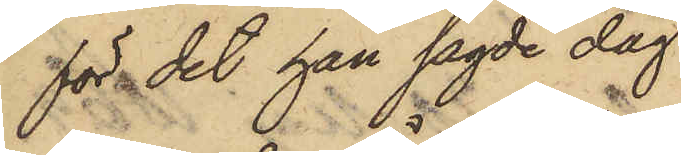för det han sagde dag
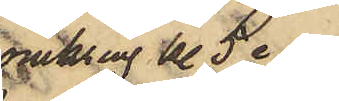omkring kl 5 e.m.
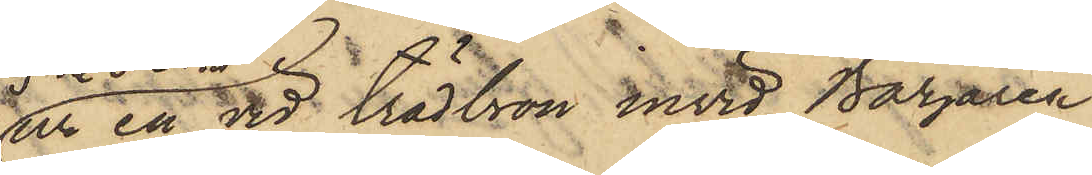ur en vid trädbron invid Bazaren
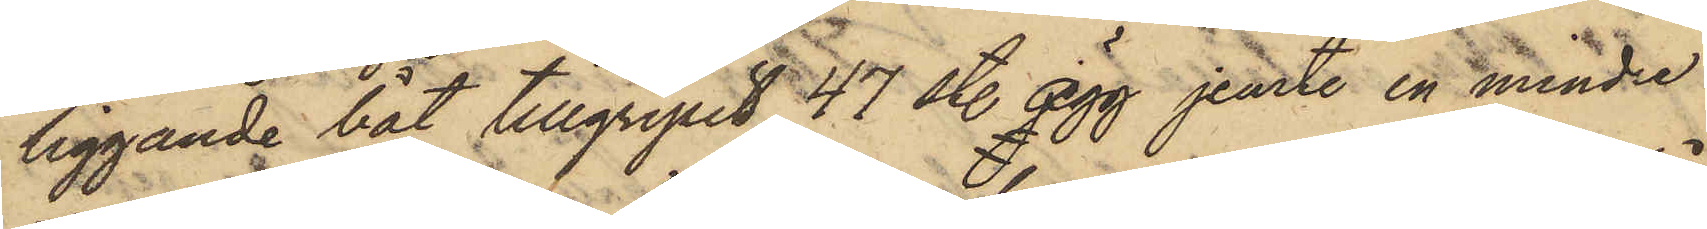liggande båt tillgripit 47 st. ägg jemte en mindre
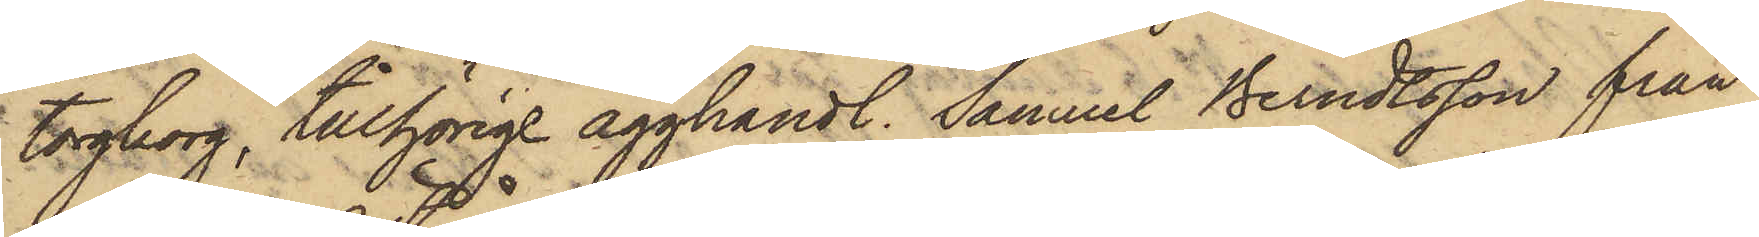torgkorg, tillhörige ägghandl. Samuel Berndtsson från
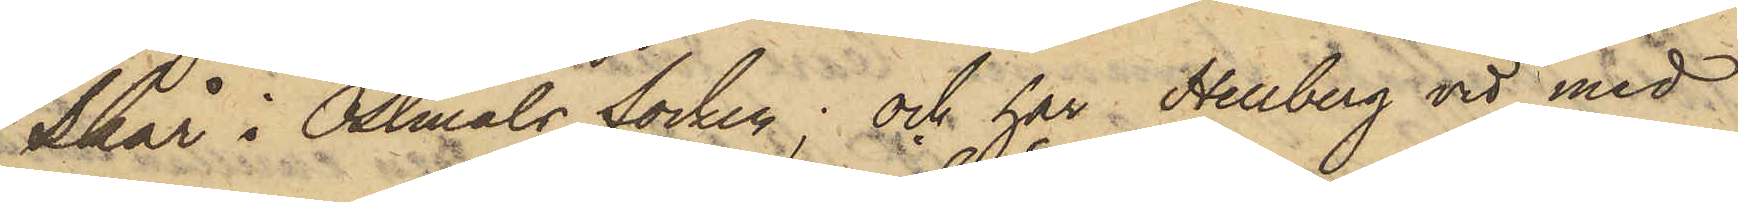Skår i Östmåls Socken; och har Hellberg vid med
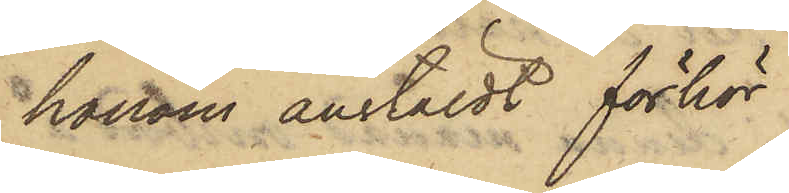honom anstäldt förhör
